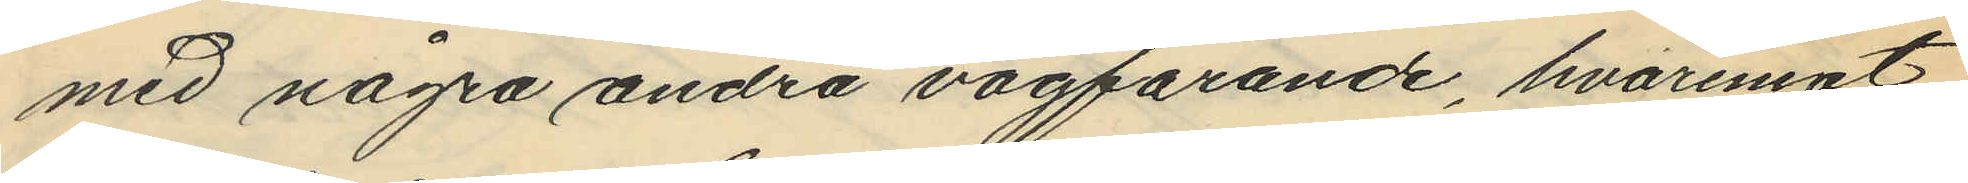med några andra vägfarande, hvaremot
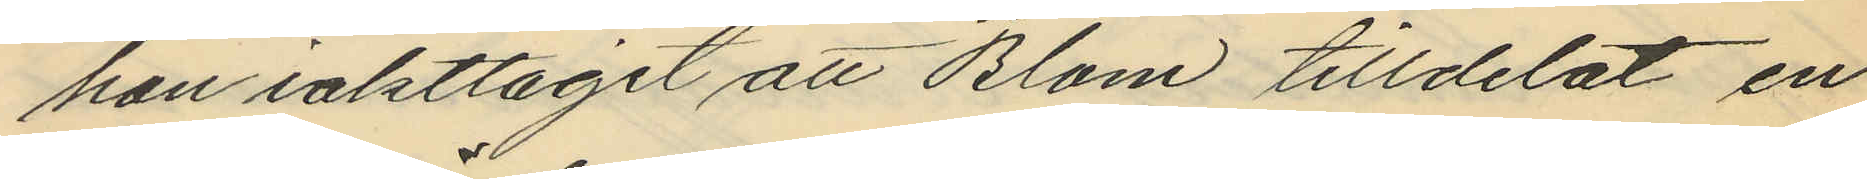han iakttagit att Blom tilldelat en
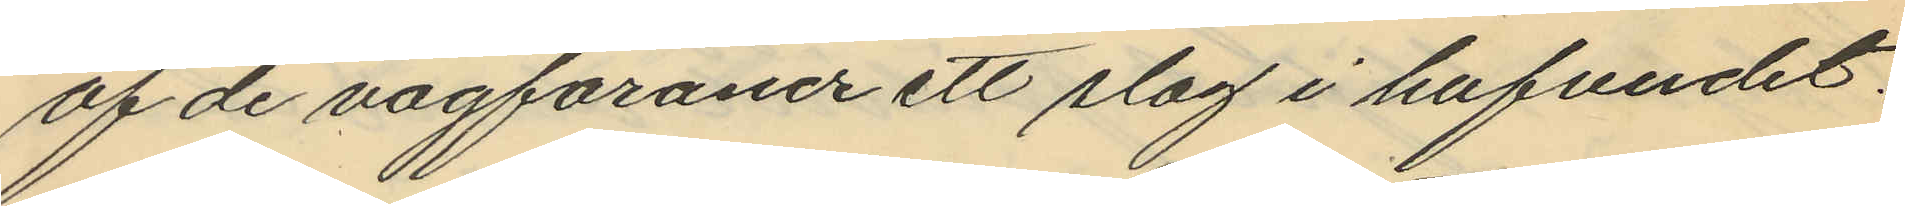af de vägfarande ett slag i hufvudet.
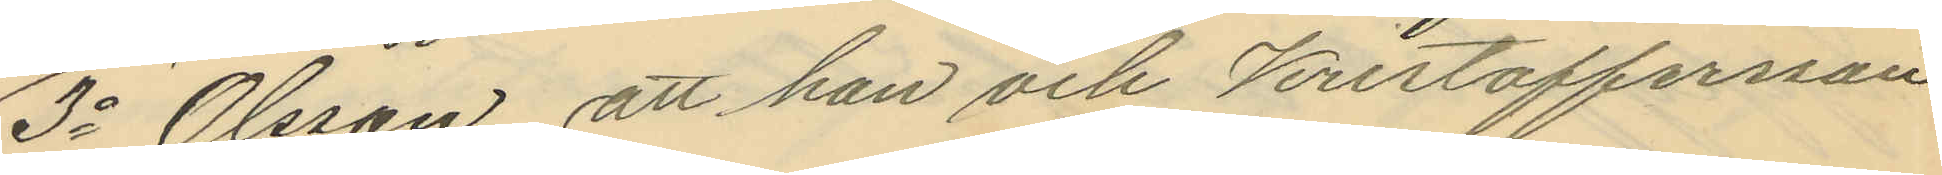3o Olsson, att han och Kristoffersson
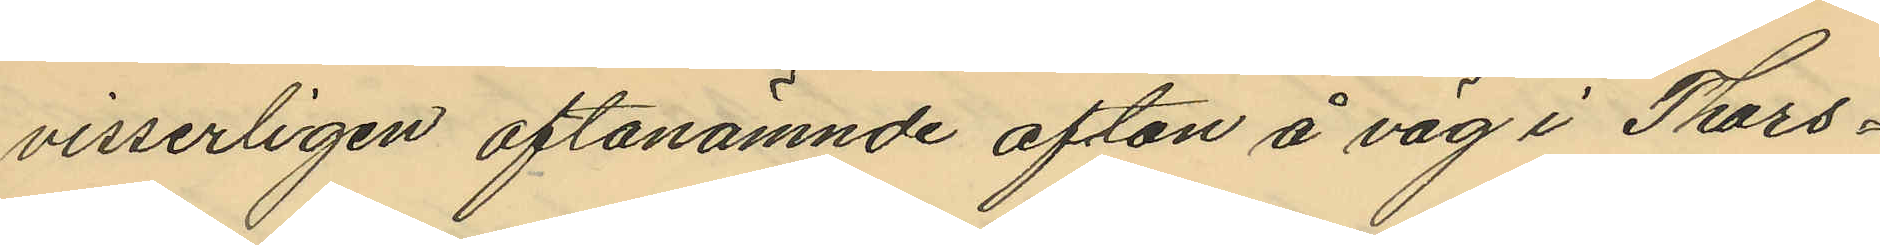visserligen oftanämnde afton å väg i Thors¬
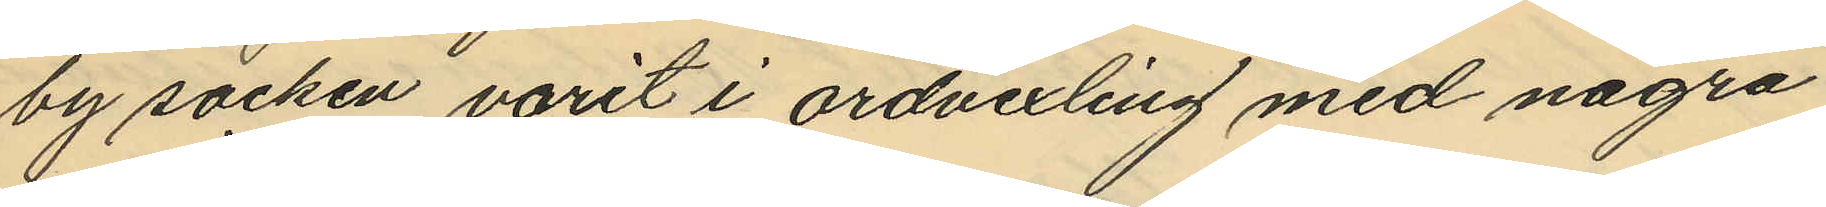by socken varit i ordvexling med några
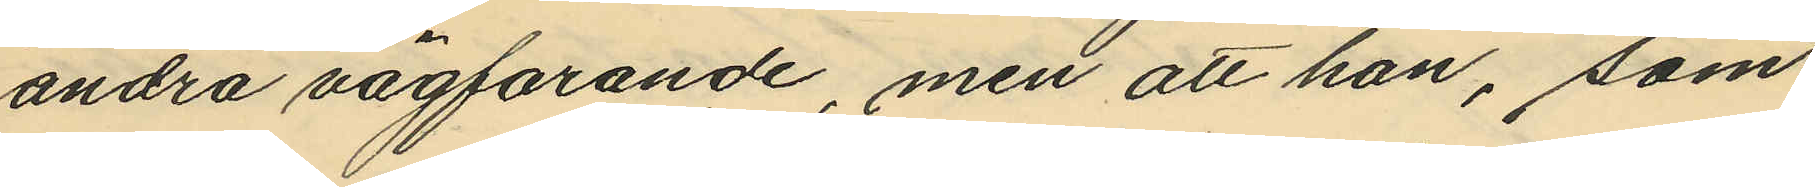andra vägfarande, men att han, som
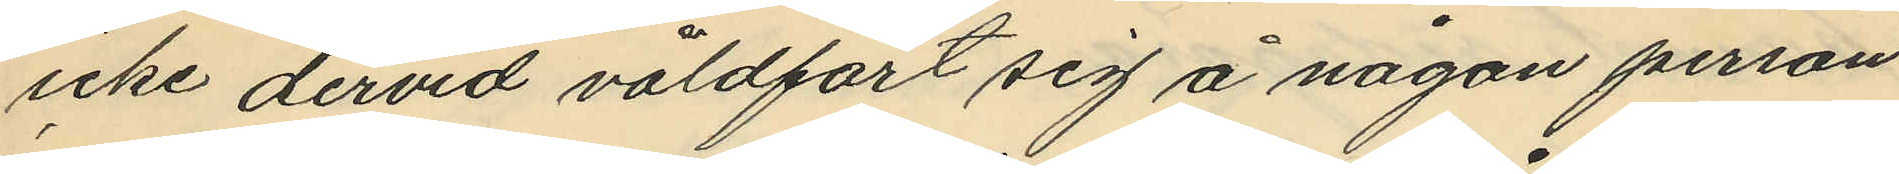icke dervid våldfört sig å någon person
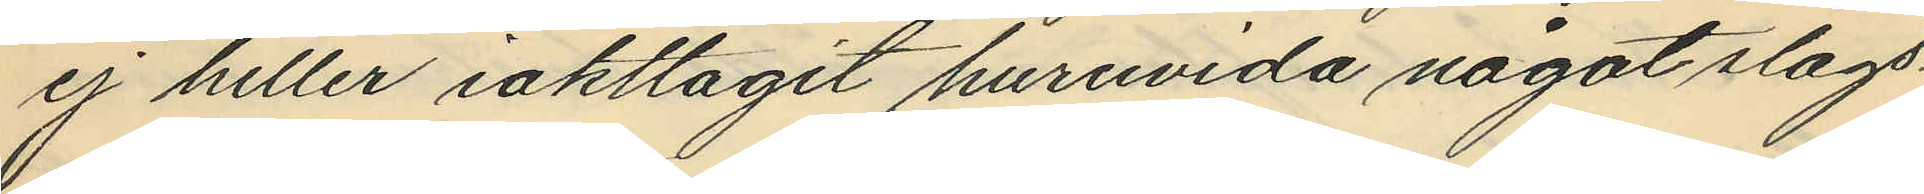ej heller iakttagit huruvida något slags¬
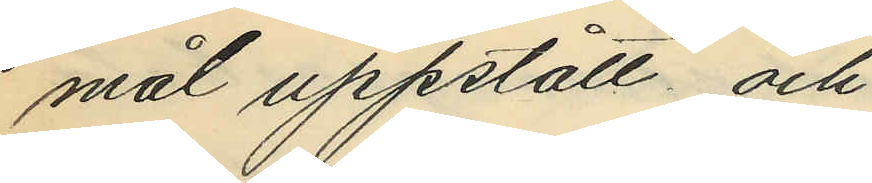mål uppstått och
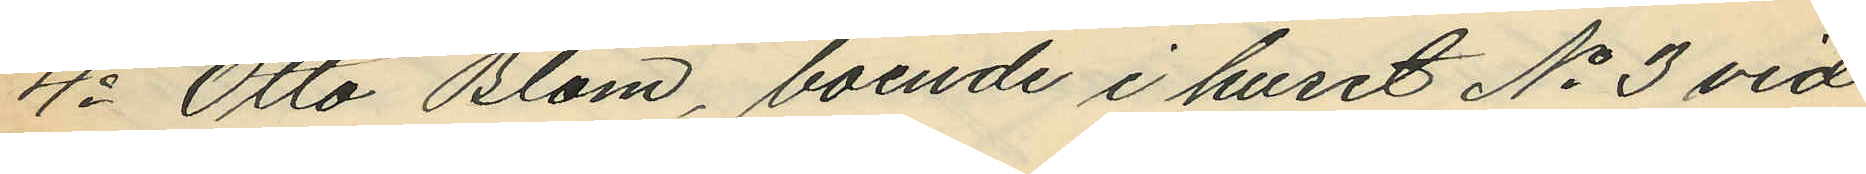4o Otto Blom, boende i huset No 3 vid
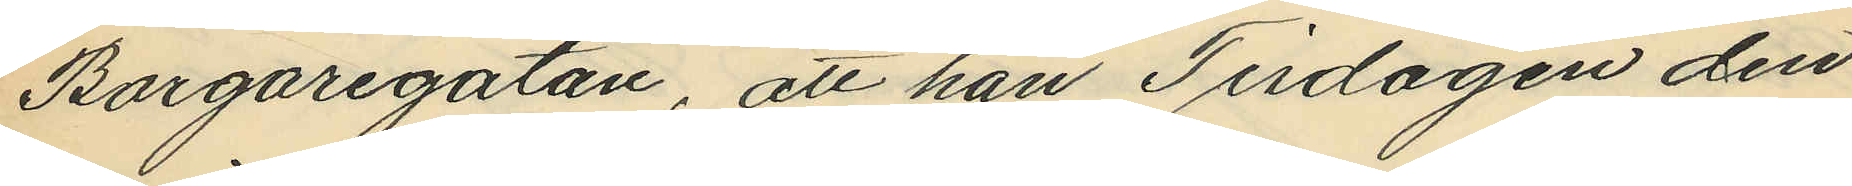Borgaregatan, att han Tisdagen den
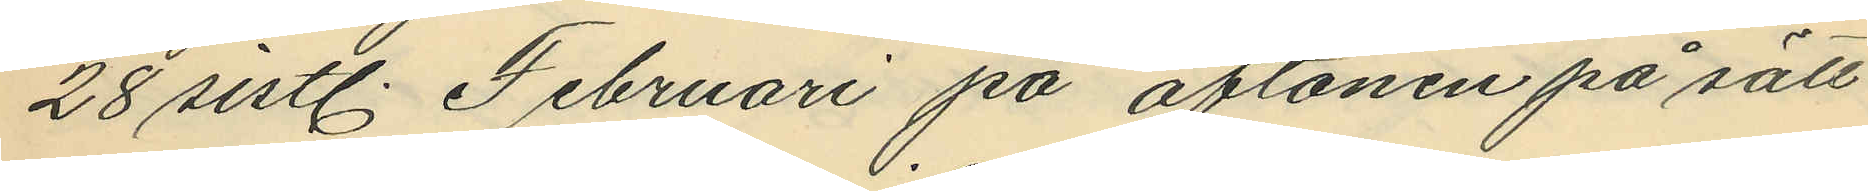28 sistl. Februari på aftonen på sätt
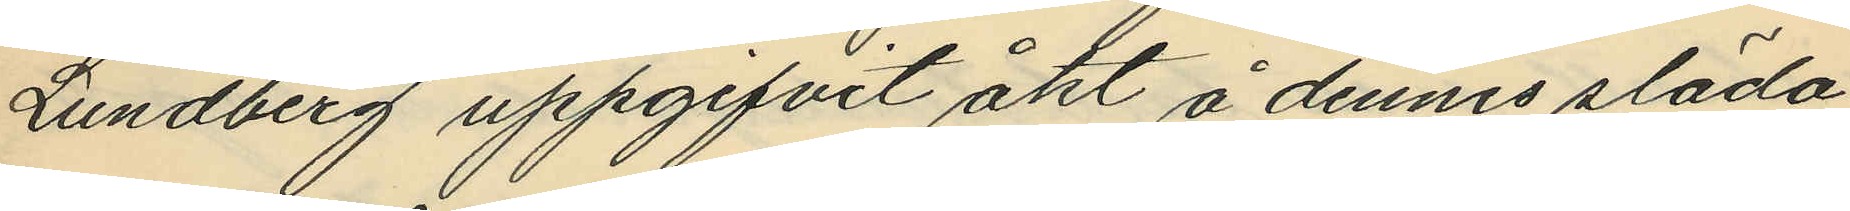Lundberg uppgifvit åkt å dennes släda,
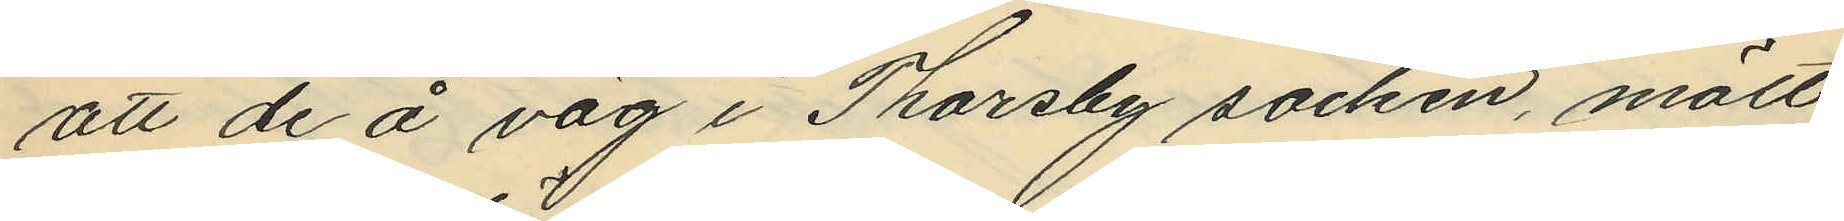att de å väg i Thorsby socken mött
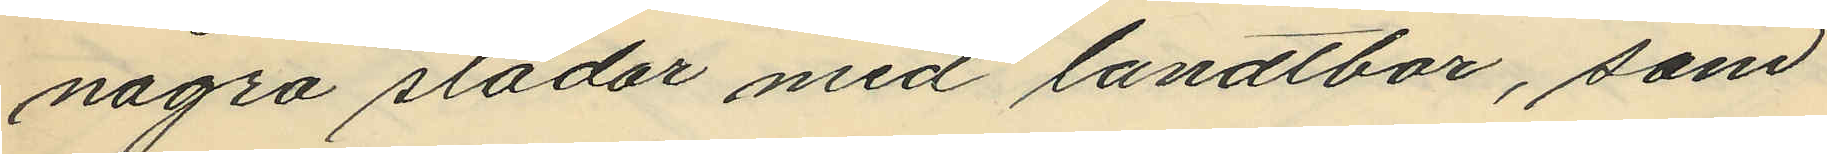några slädar med landtbor, som
